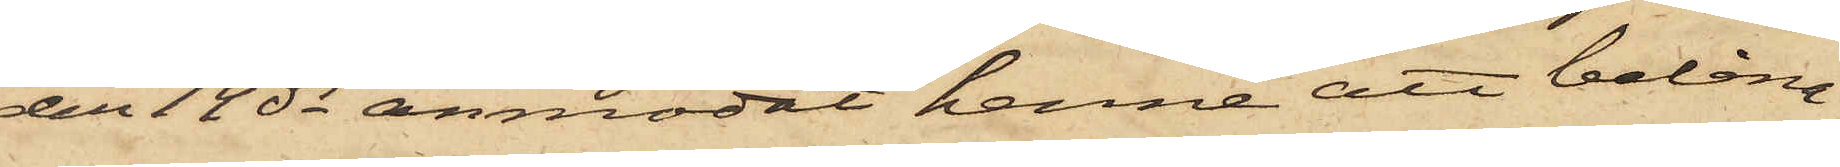den 14 ds anmodat henne att belåna
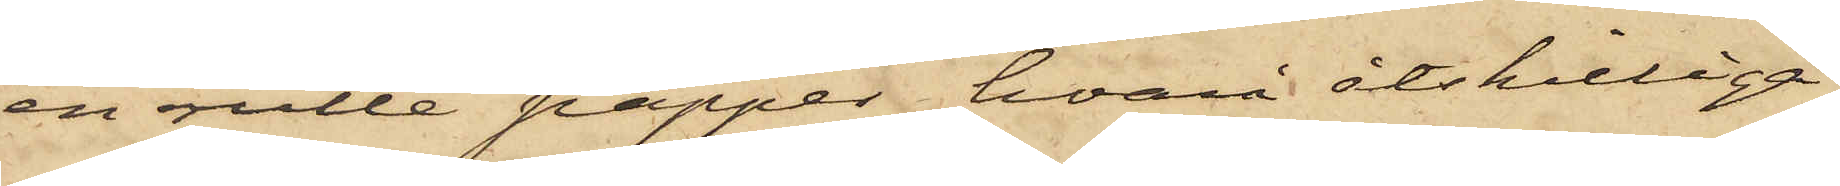en rulle papper, hvari åtskilliga
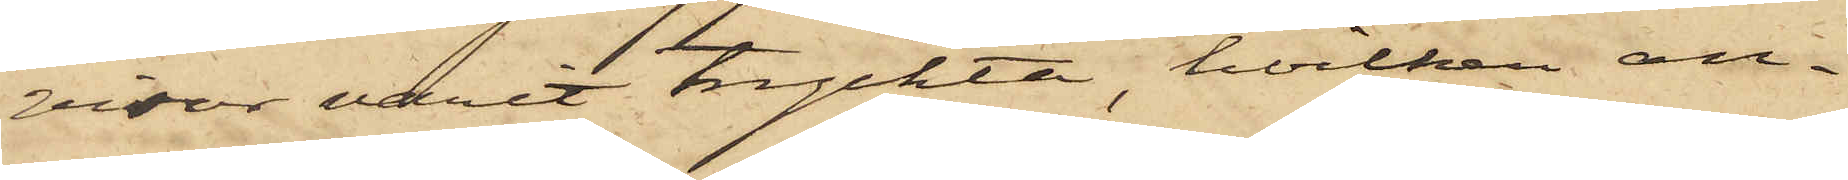visor varit tryckte, hvilken an¬
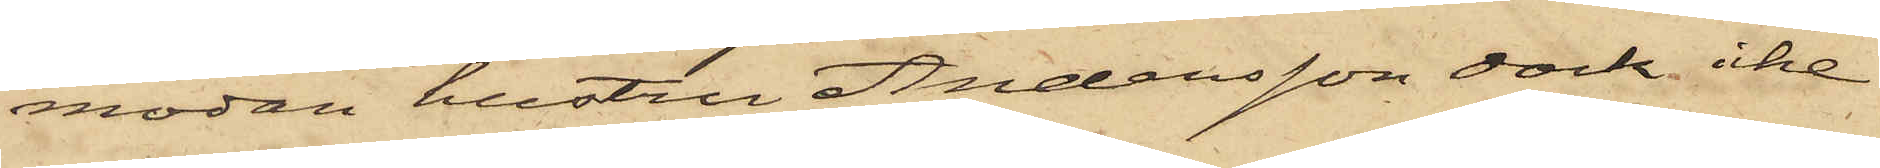modan hustru Andersson dock icke
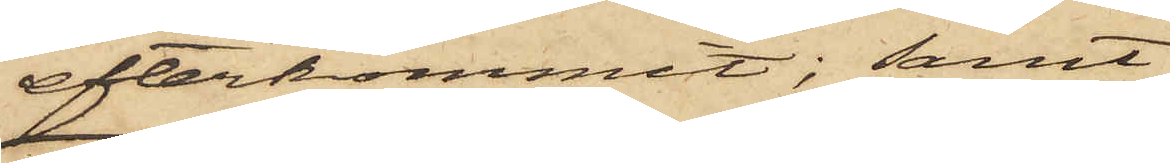efterkommit; samt
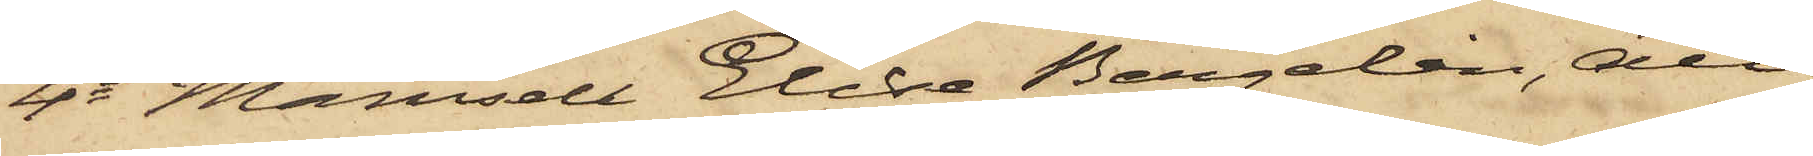4o Mamsell Elise Bergelin, att
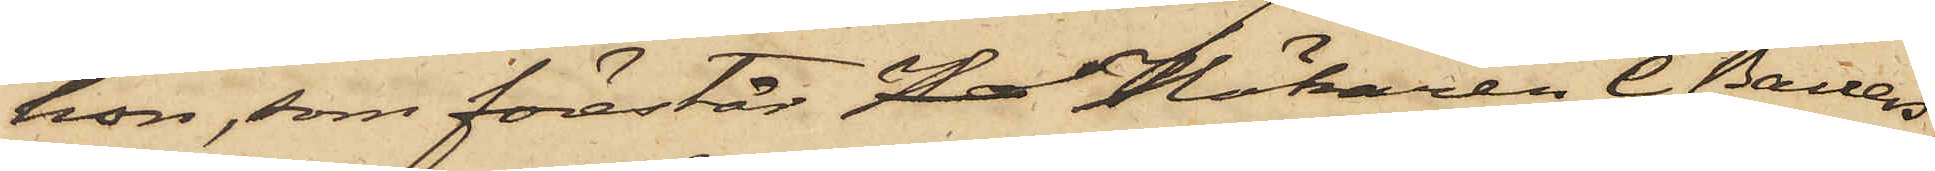hon, som förestår Ho Hökaren C. Bauers
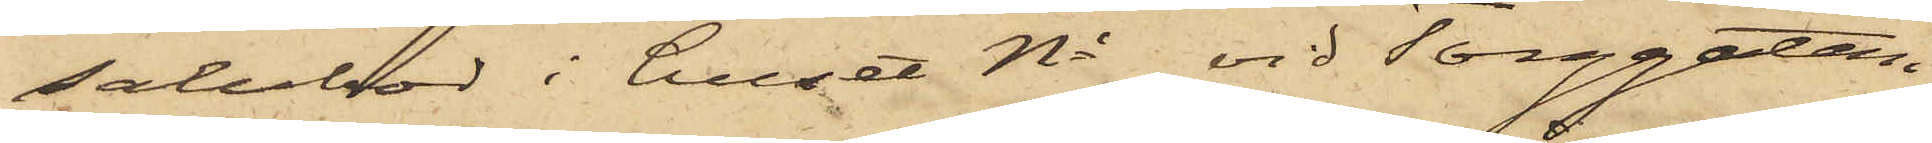salubod i huset No vid Torggatan,
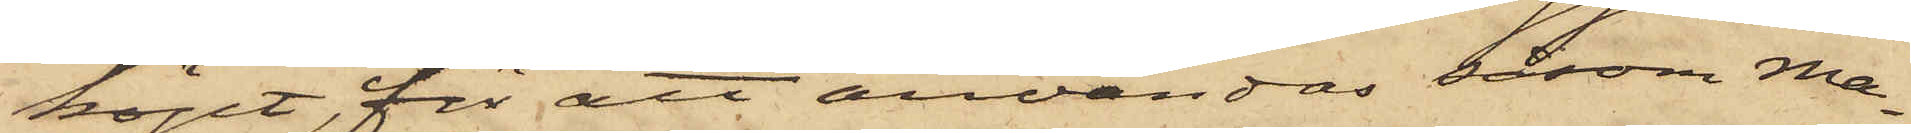köpt, för att användas såsom ma¬
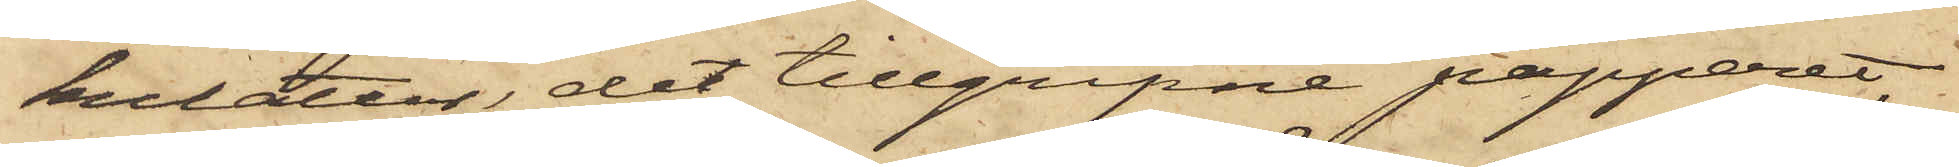kulatur, det tillgripne papperet,
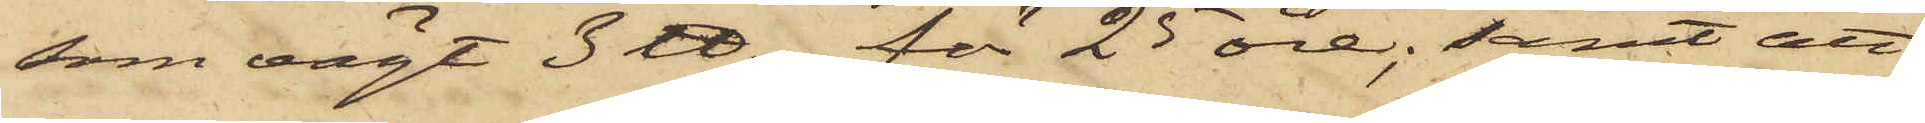som vägt 3 ℔, för 25 öre; samt att
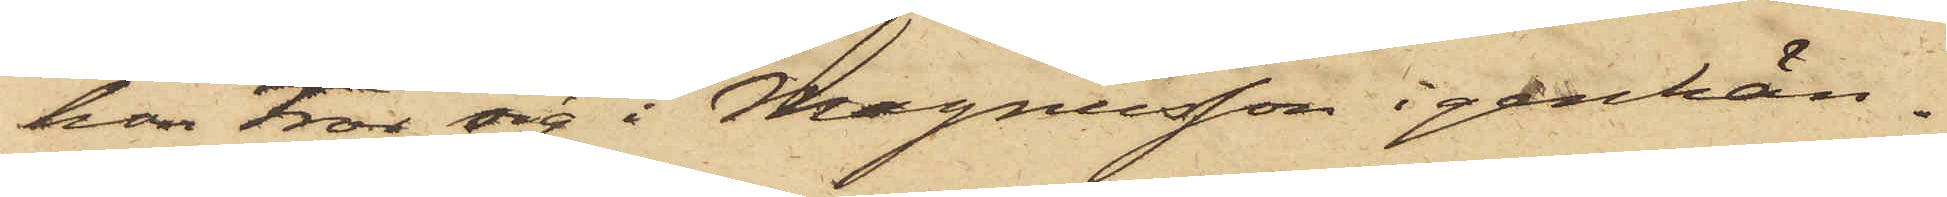hon tror sig i Magnusson igenkän¬
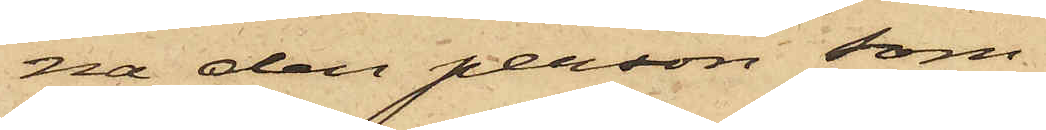na den person som
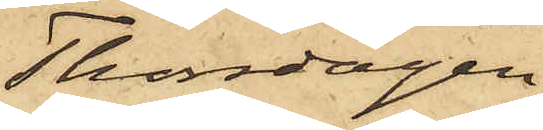Thorsdagen
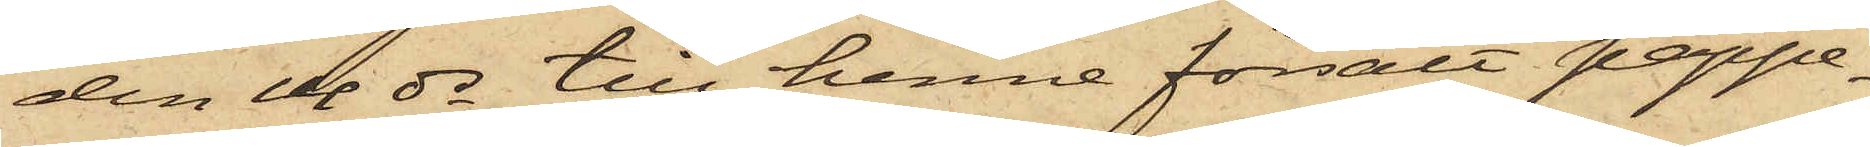den 14 ds till henne försålt pappe¬
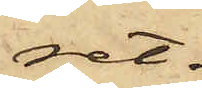ret.
